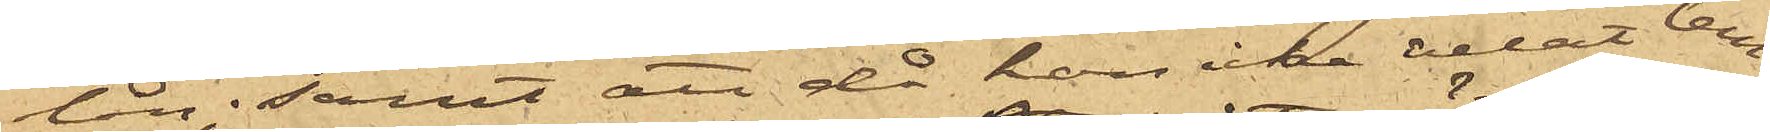lån; samt att då hon icke velat lem¬
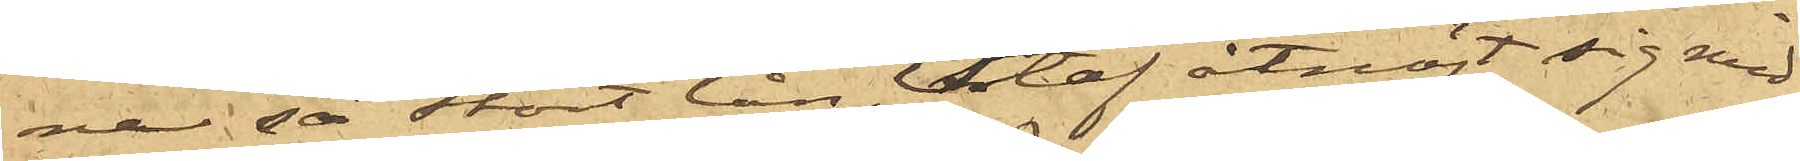na så stort lån, Staf åtnöjt sig med
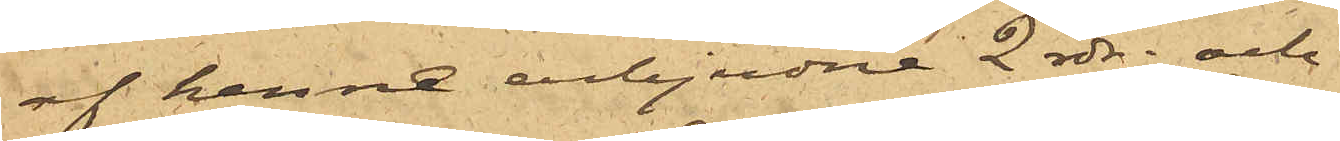af henne erbjudne 2 rdr. och
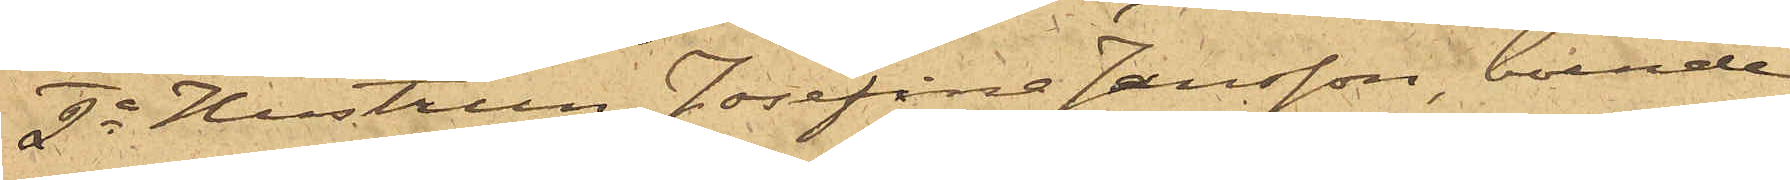2o Hustrun Josefina Jansson, boende
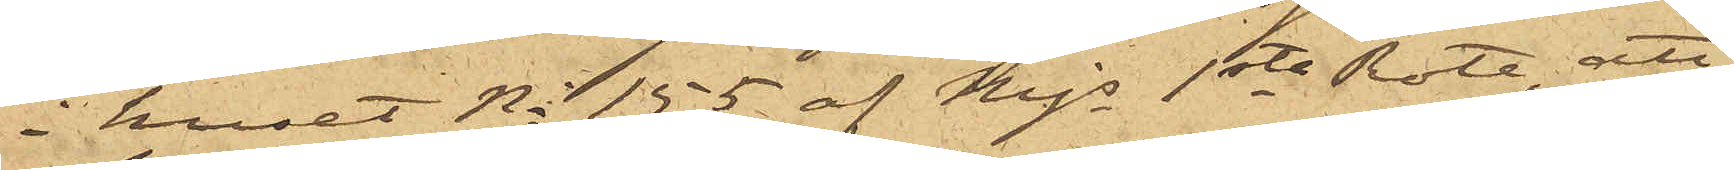i huset No 155 af Majs 1ste Rote, att
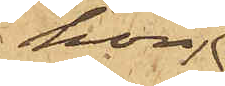hon
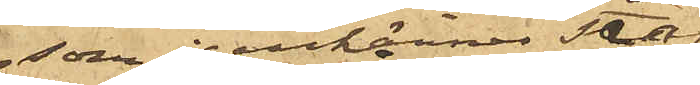som igenkänner Staf,
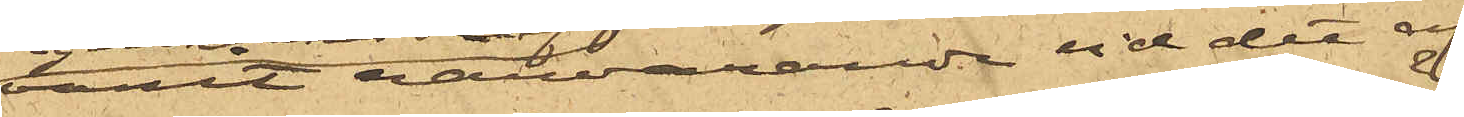varit närvarande vid det af
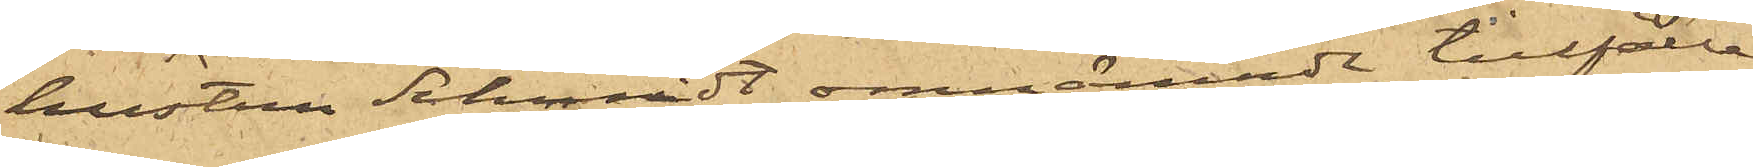hustru Schmidt omnämnde tillfälle
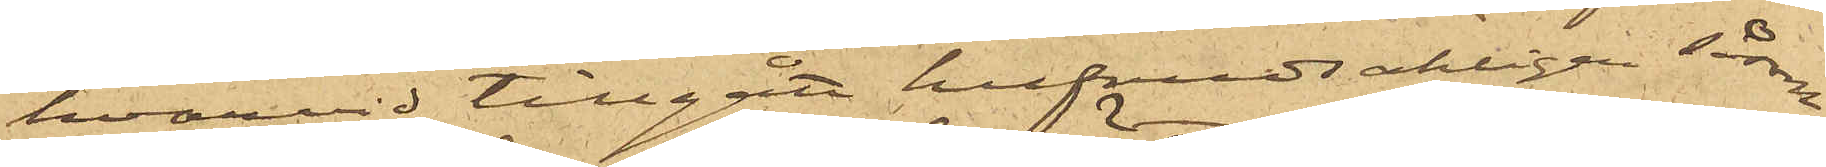hvarvid tillgått hufvudsakligen såsom
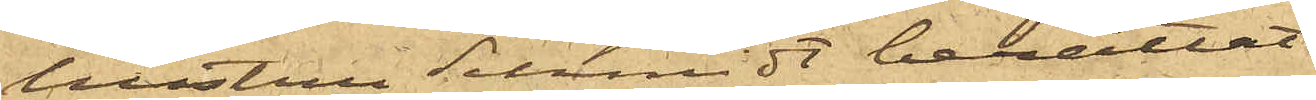hustru Schmidt berättat.
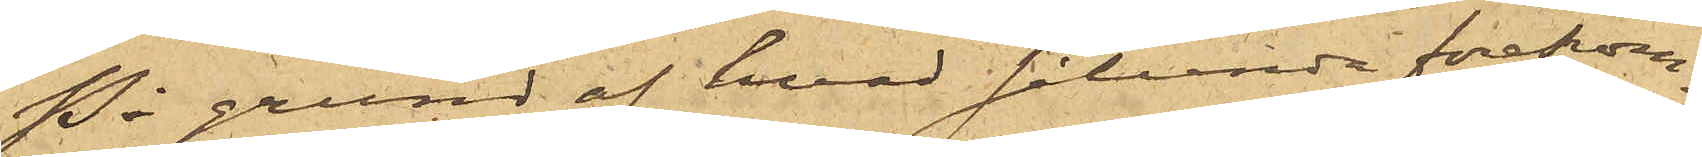På grund af hvad sålunda förekom¬
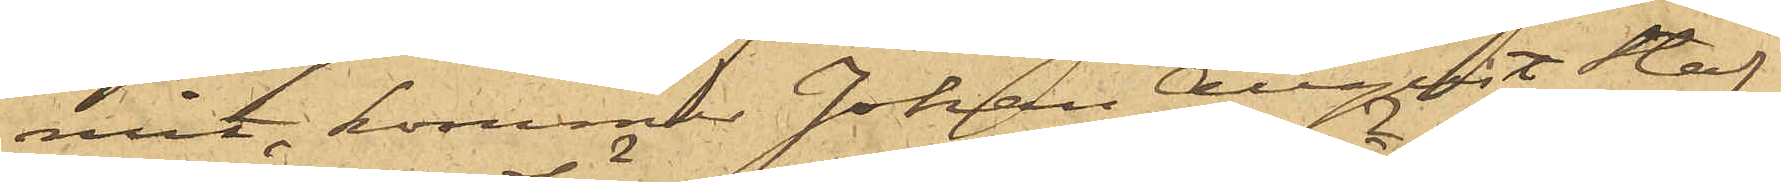mit, kommer Johan August Staf,
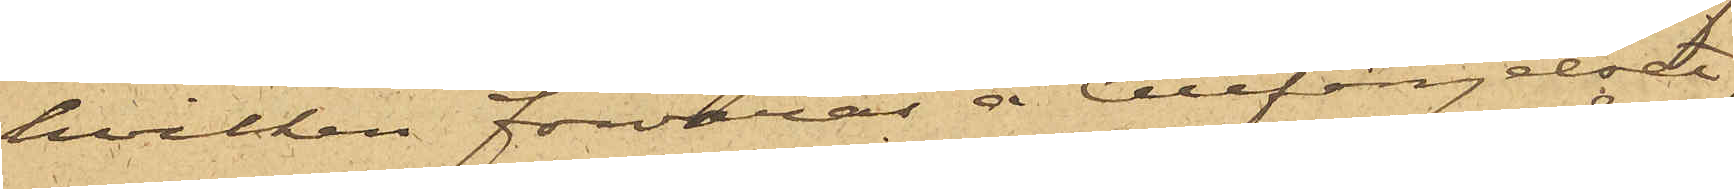hvilken förvaras å Cellfängelset,
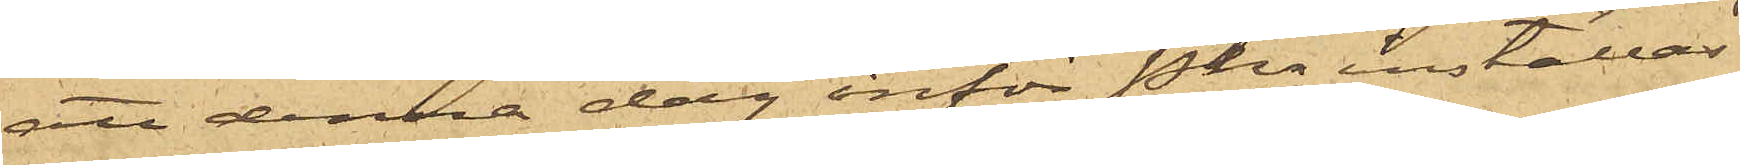att denna dag inför Pkn inställas.
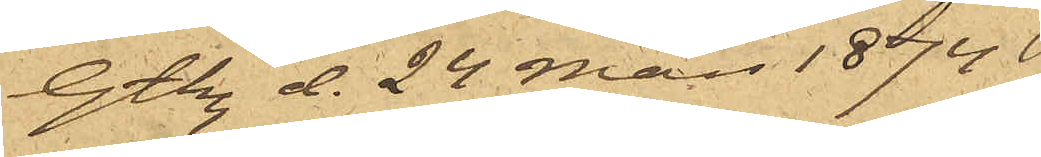Gtbg d. 24 Mars 1874.
